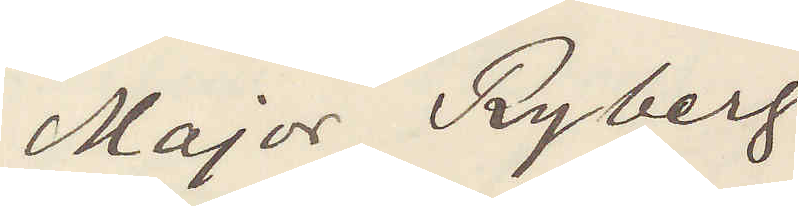Major Ryberg
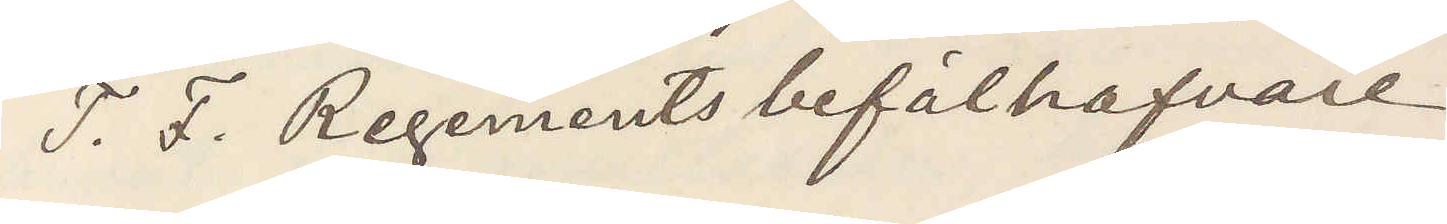T. F. Regementsbefälhafvare
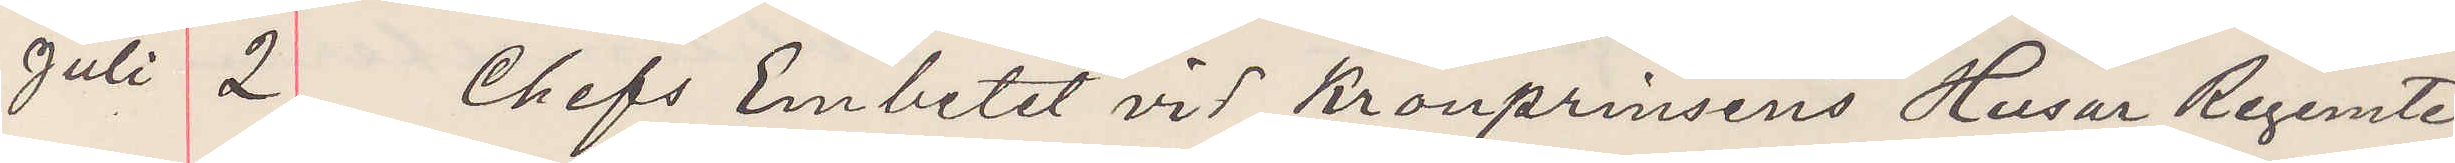Juli 2 Chefs Embetet vid Kronprinsens Husar Regemte
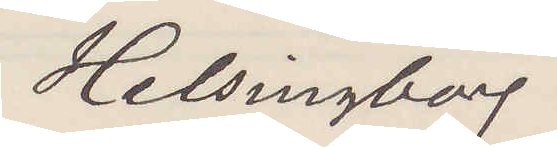Helsingborg.
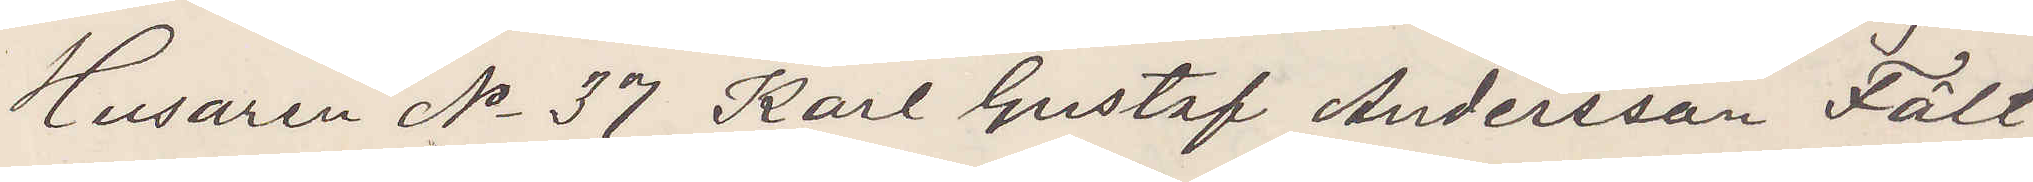Husaren No 37 Karl Gustaf Andersson Fält,
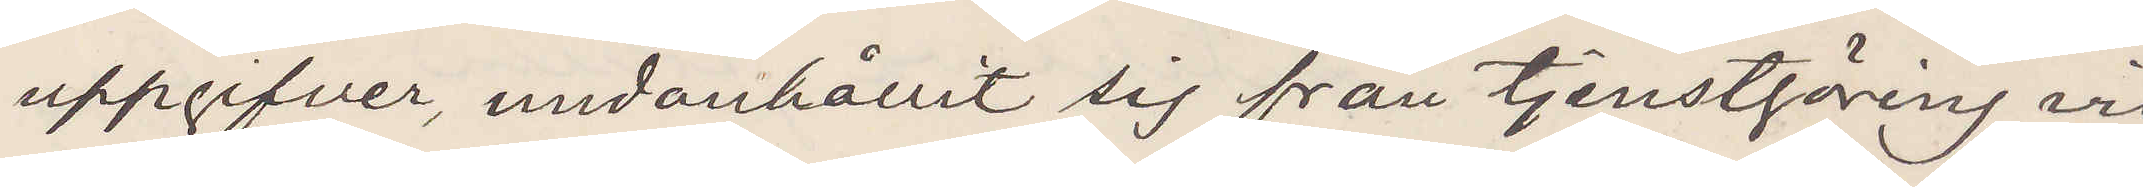uppgifver, undanhållit sig från tjenstgöring vid
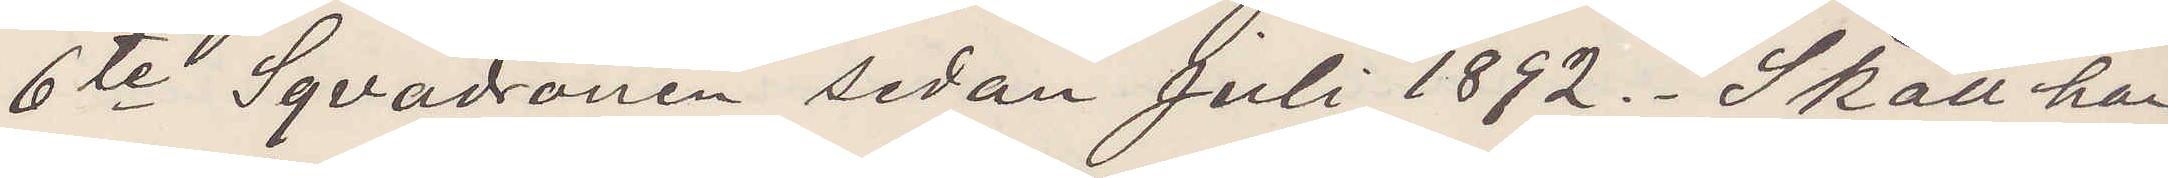6te Sqvadronen sedan Juli 1892. Skall han
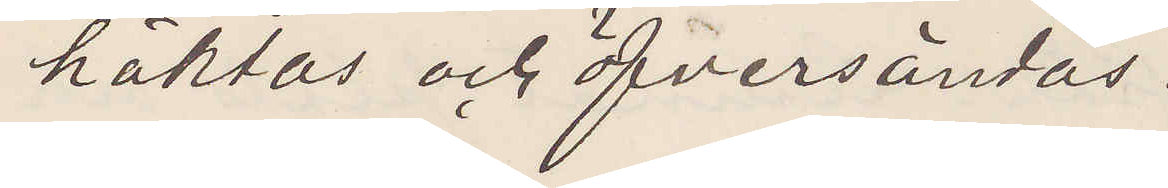häktas och öfversändas.
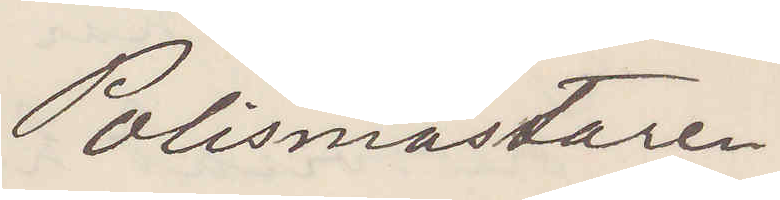Polismästaren.
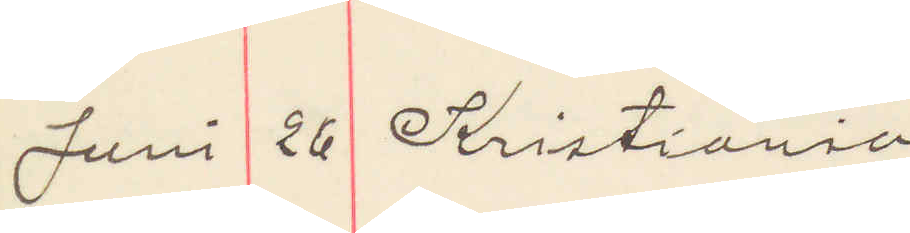Juni 26 Kristiania
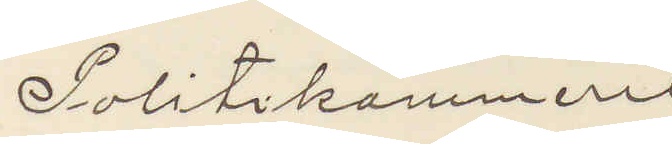Politikammeret 
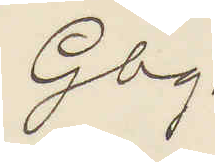Gbg.
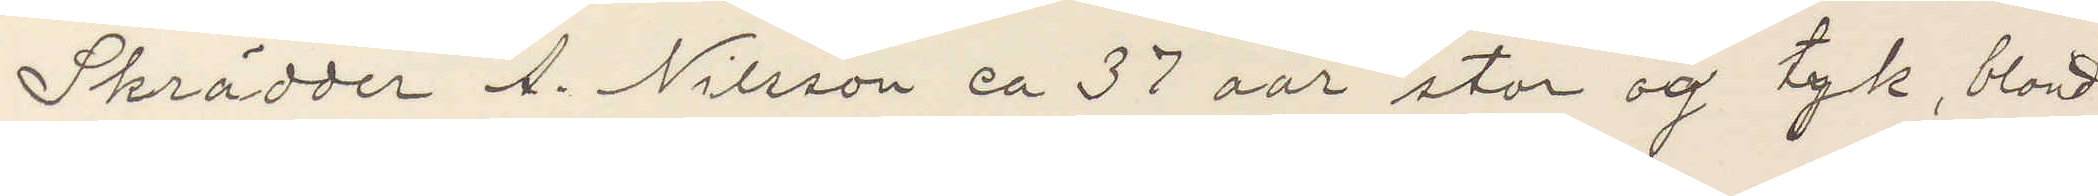Skrädder A. Nilsson ca 37 aar stor og tyk, blond
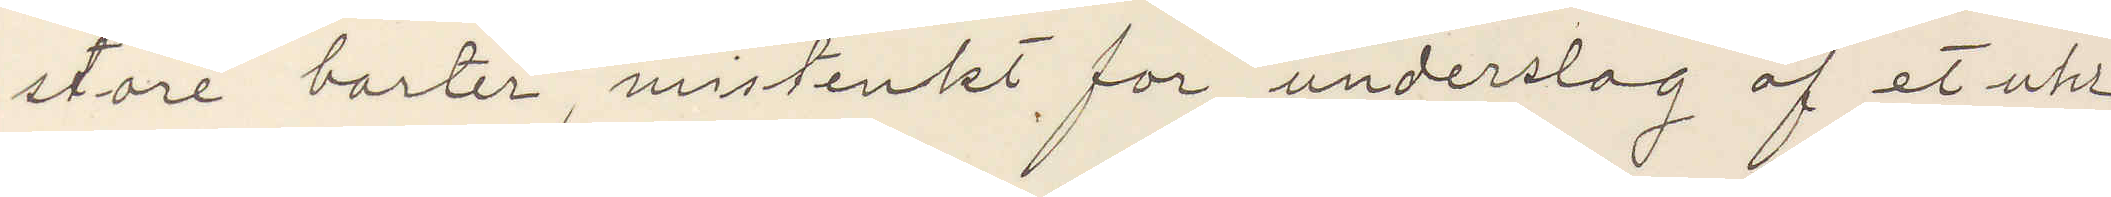store barter, mistenket for underslag af et uhr
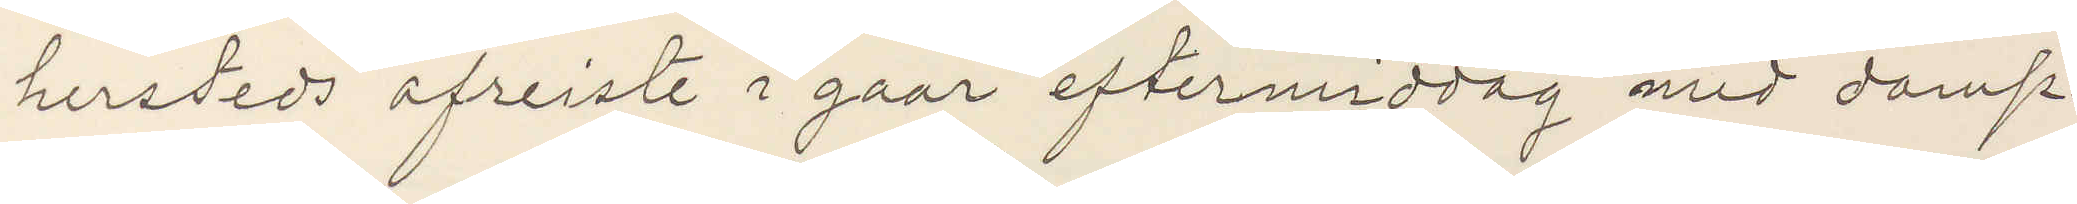hersteds afreiste i gaar eftermiddag med damp¬
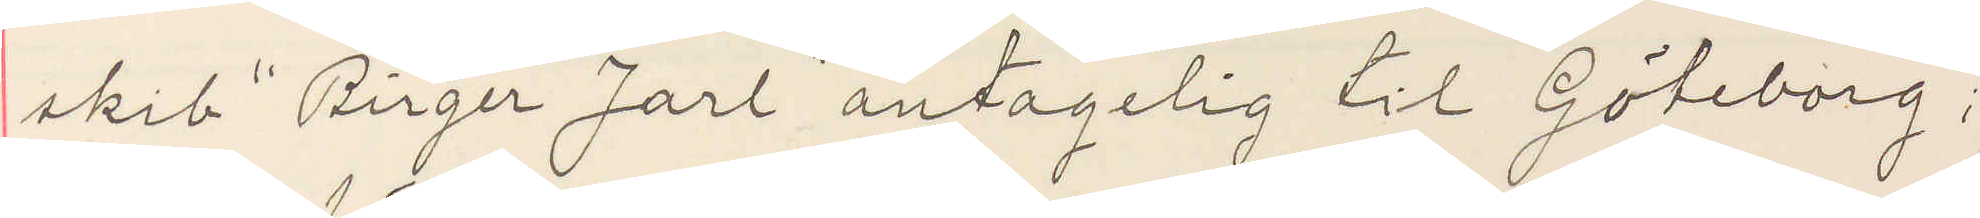skib "Birger Jarl" antagelig til Göteborg;
